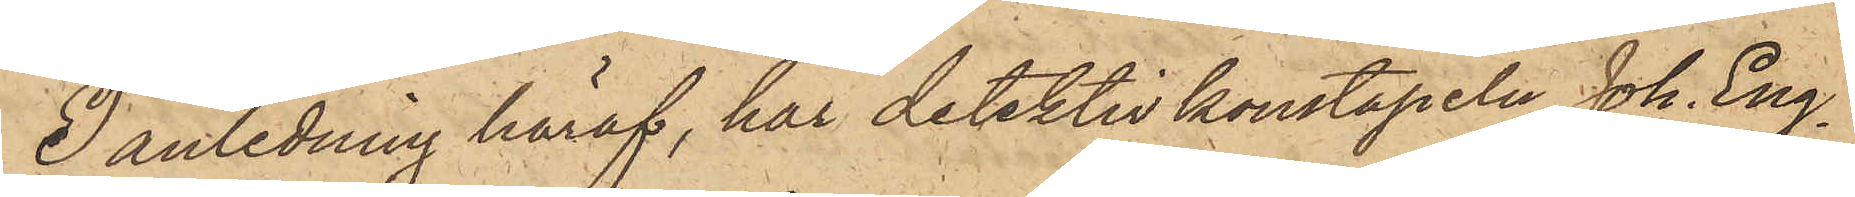I anledning häraf, har detektivkonstapeln Joh. Eng¬
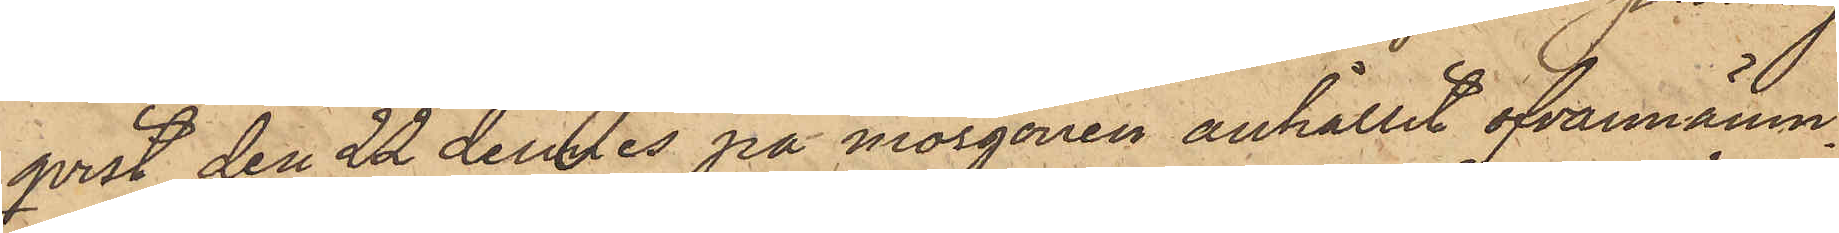qvist den 22 dennes på morgonen anhållit ofvannämn¬
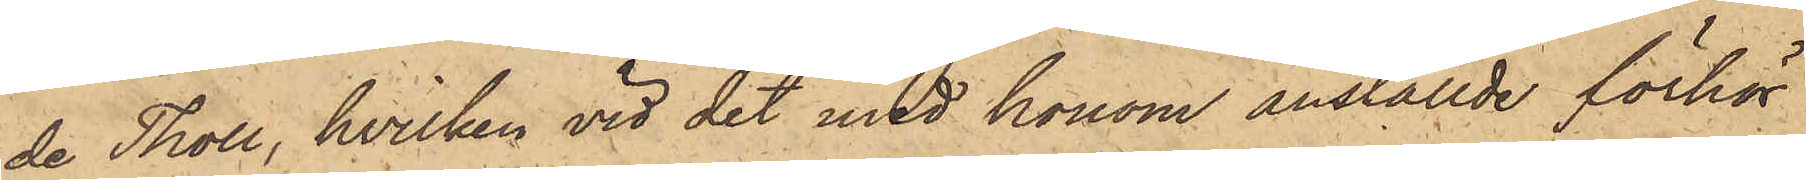de Tholl, hvilken vid det med honom anställde förhör
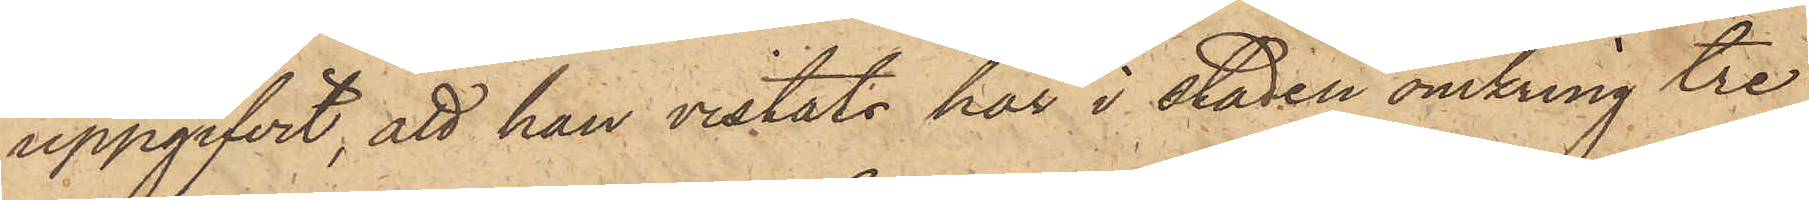uppgifvit, att han vistats här i staden omkring tre
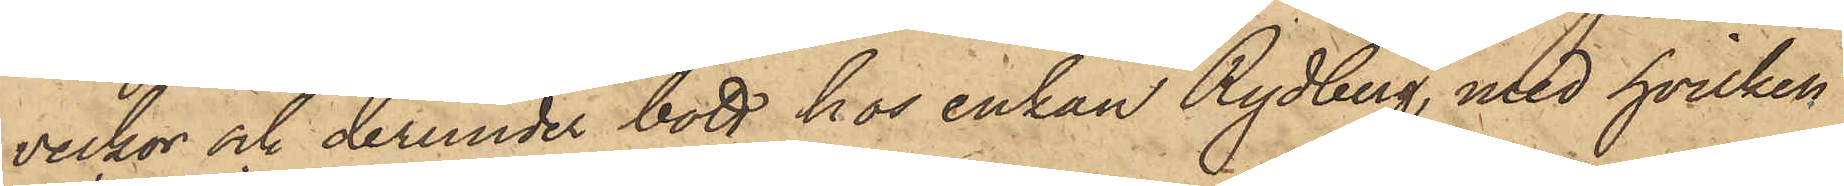veckor och derunder bott hos Enkan Rydberg, med hvilken
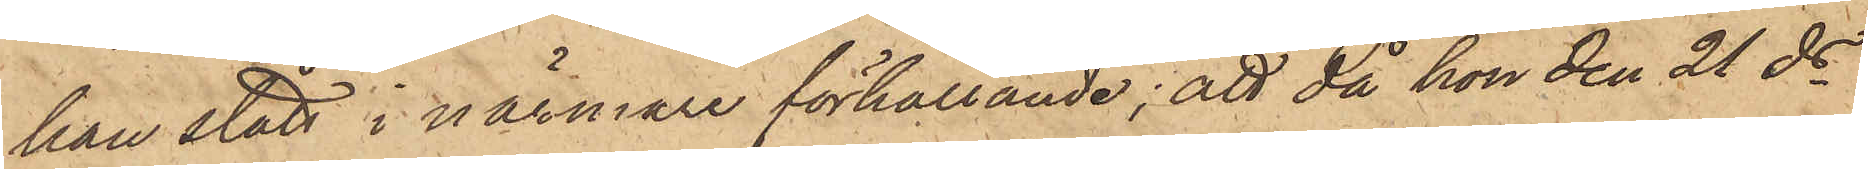han stått i närmare förhållande; att då hon den 21 ds
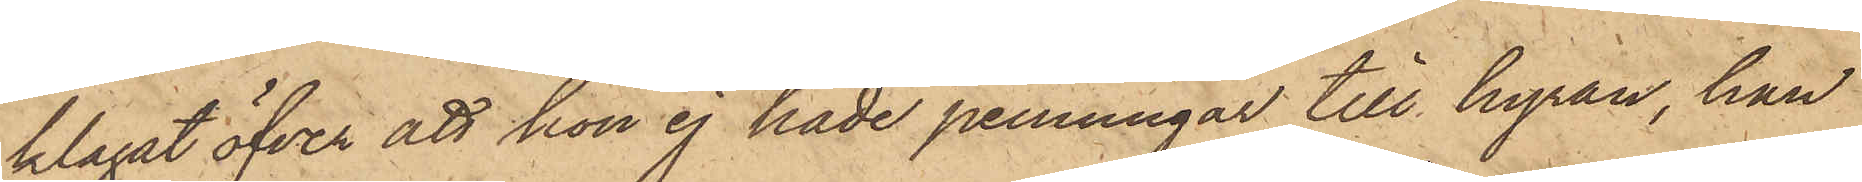klagat öfver att hon ej hade penningar till hyran, han
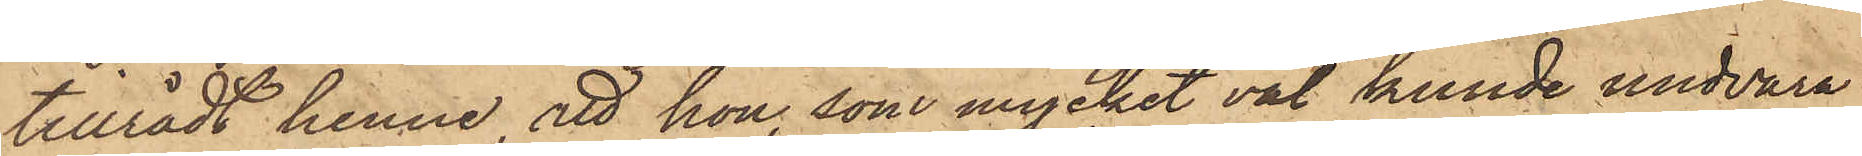tillrådt henne att hon, som mycket väl kunde undvara
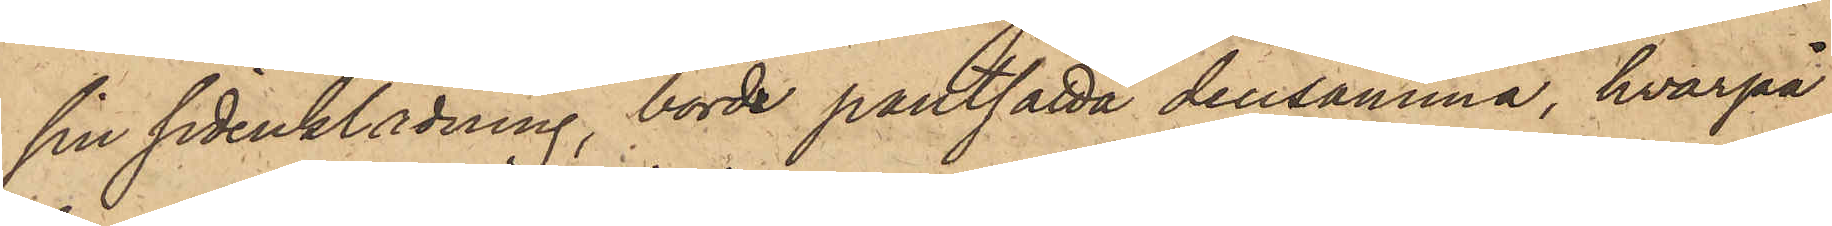sin sidenklädning, borde pantsätta densamma, hvarpå
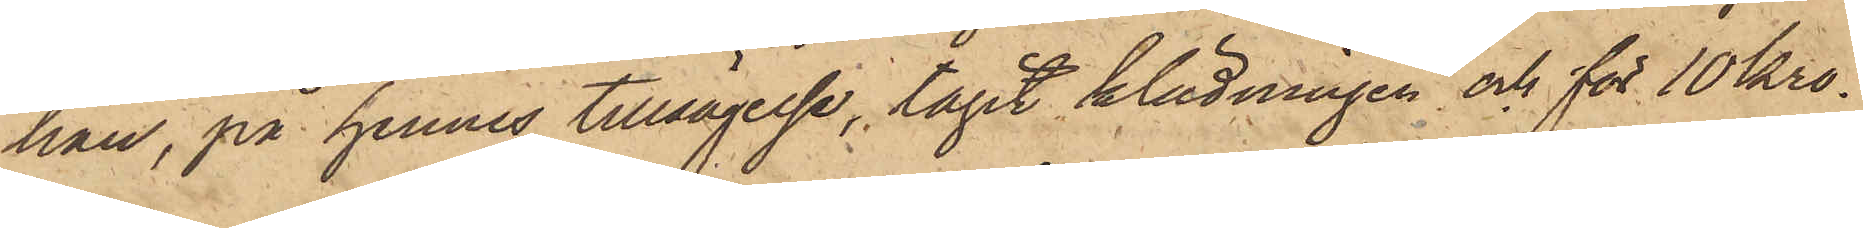han, på hennes tillsägelse, tagit klädningen och för 10 kro¬
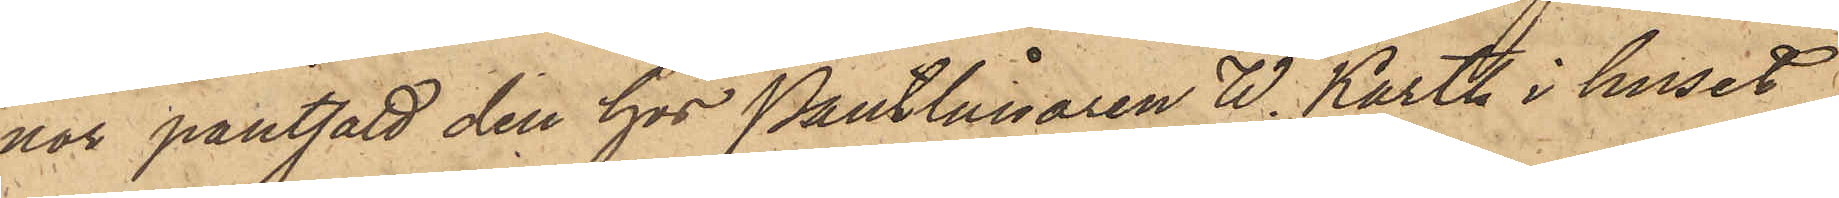nor pantsatt den hos Pantlånaren W. Karth i huset
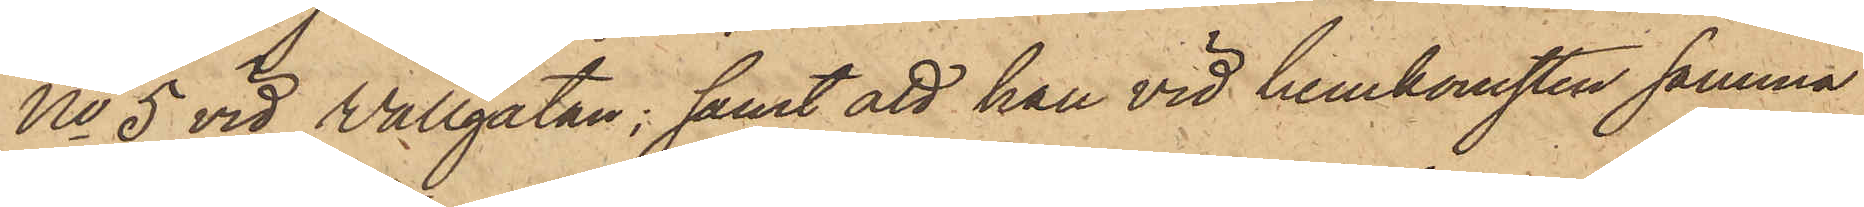No 5 vid Wallgatan; samt att han vid hemkomsten samma
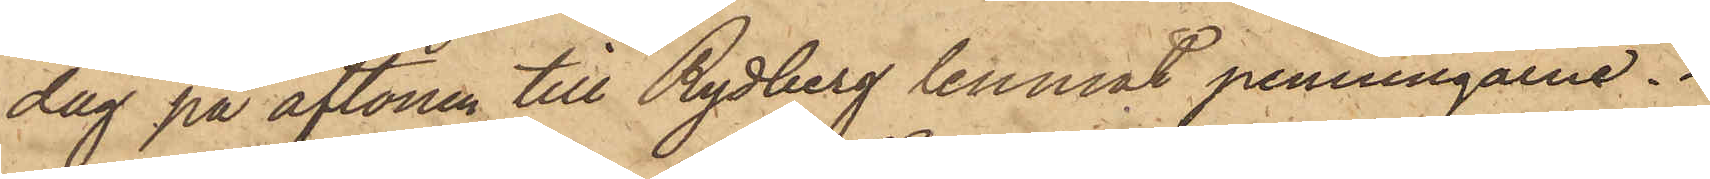dag på aftonen till Rydberg lemnat penningarne.
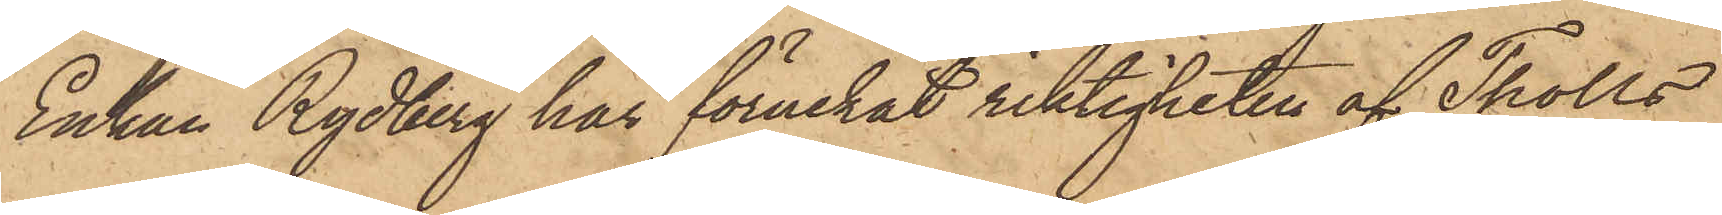Enkan Rydberg har förnekat riktigheten af Tholls
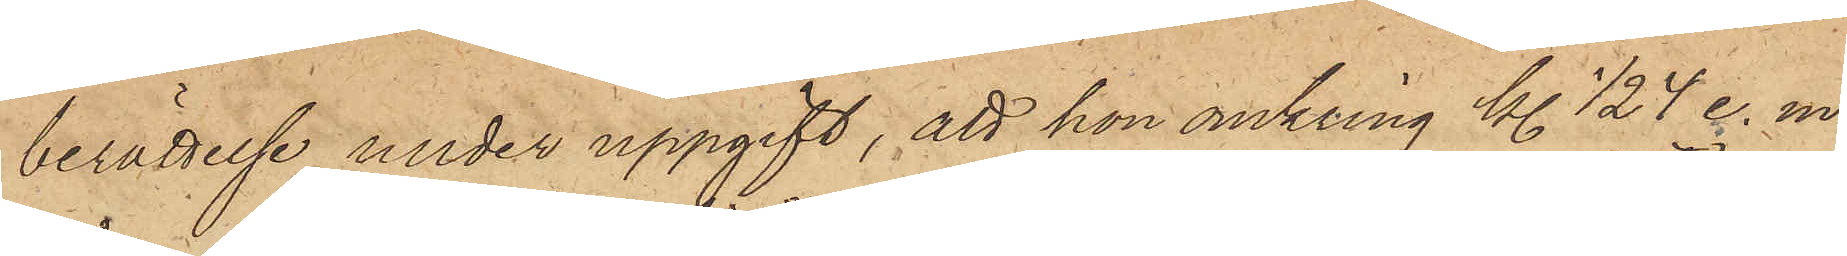berättelse under uppgift, att hon omkring kl. ½4 e. m.
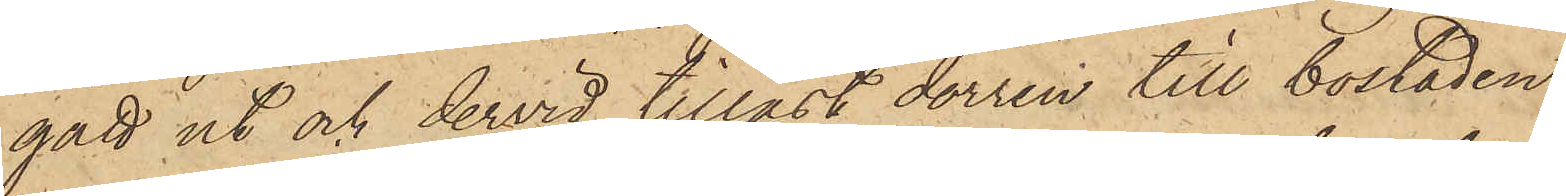gått ut och dervid tillåst dörren till bostaden;
